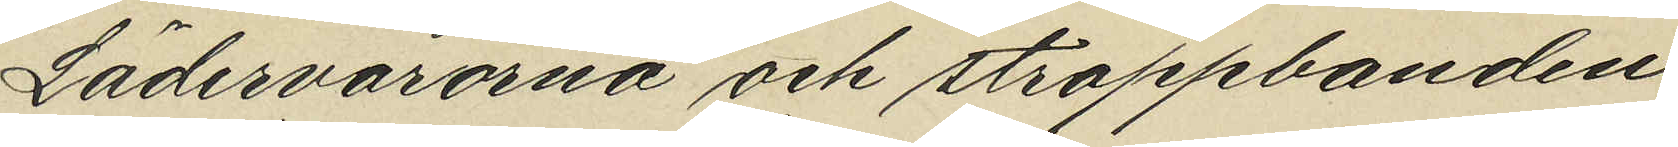Lädervarorna och stroppbanden
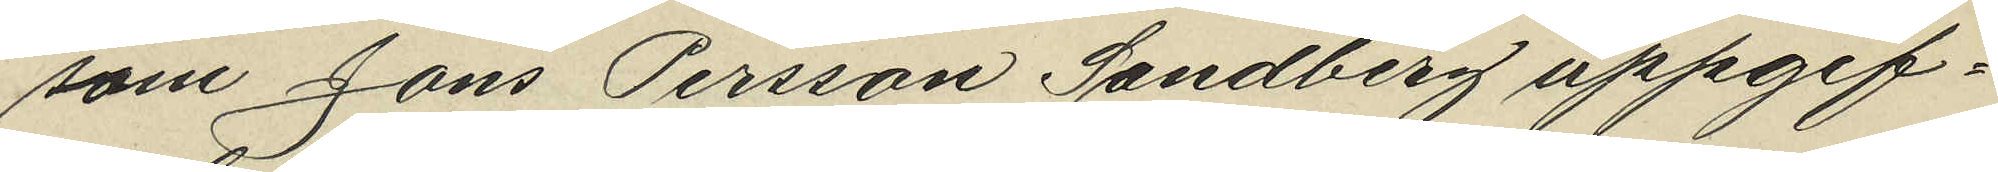som Jöns Persson Sandberg uppgif¬
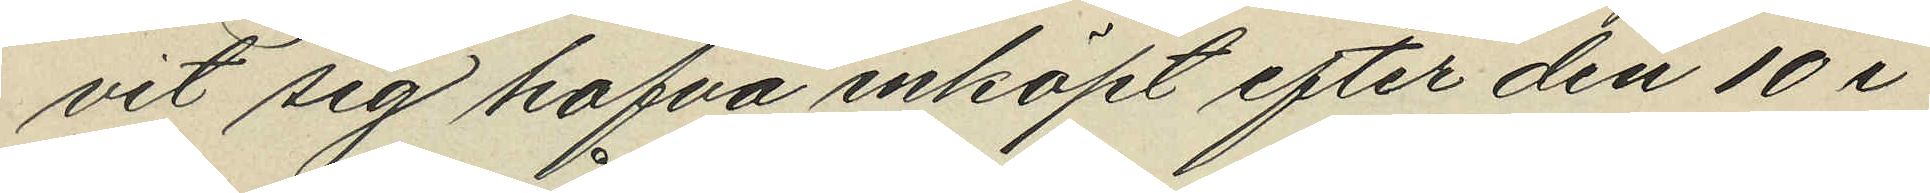vit sig hafva inköpt efter den 10 i
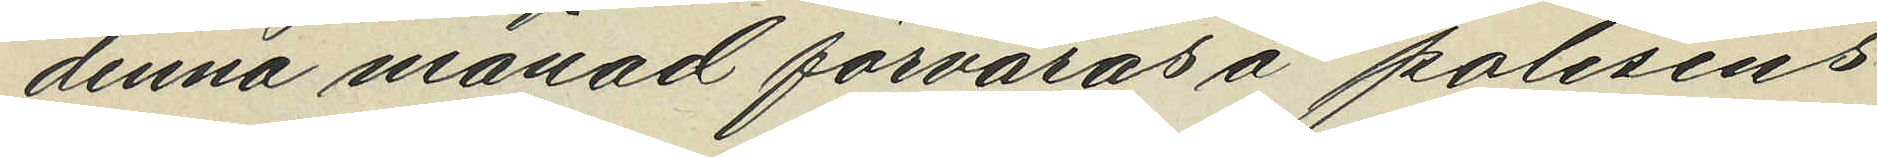denna månad förvaras i polisens
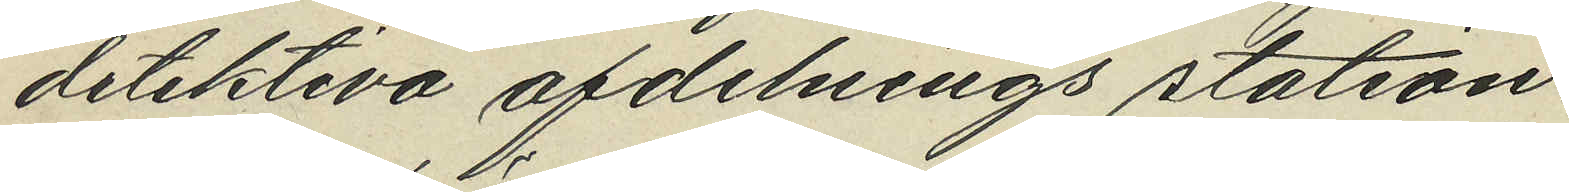detektiva afdelnings station.
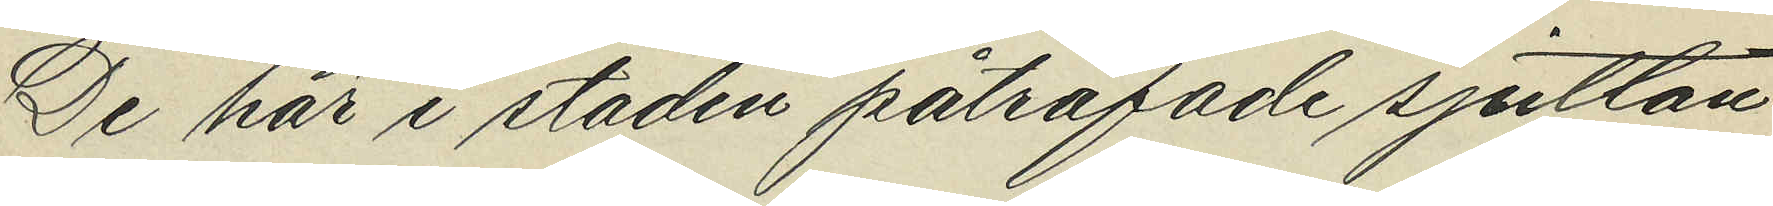De här i staden påträffade sjutton
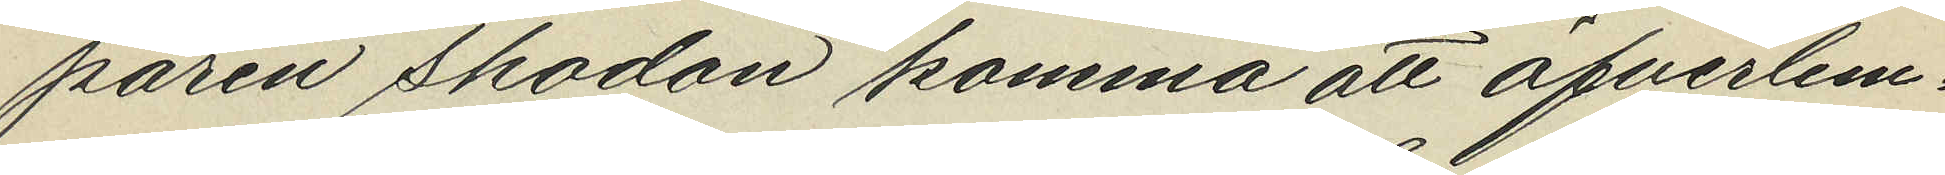paren skodon komma att öfverlem¬
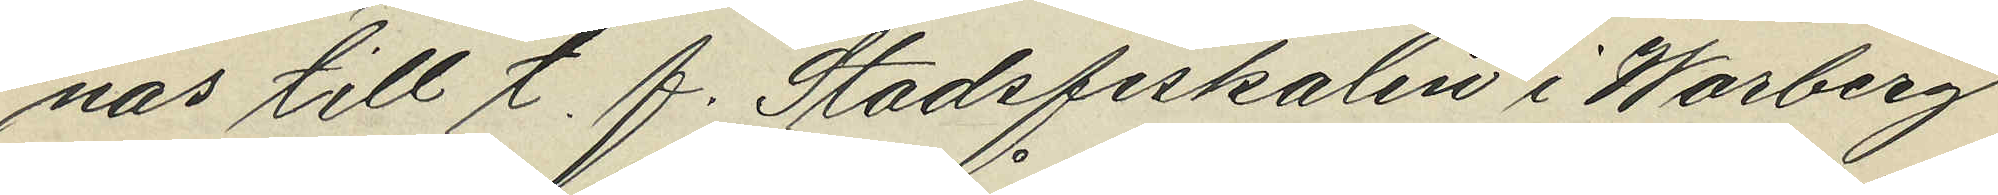nas till t. f. Stadsfiskalen i Warberg
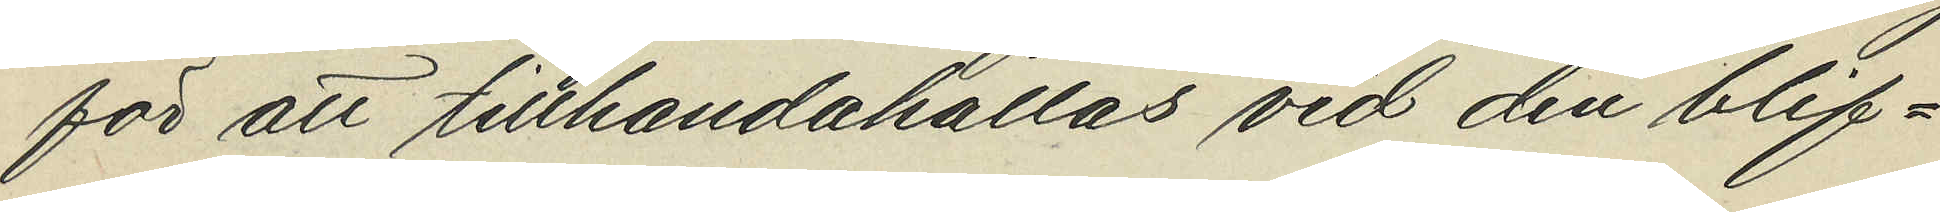för att tillhandahållas vid den blif¬
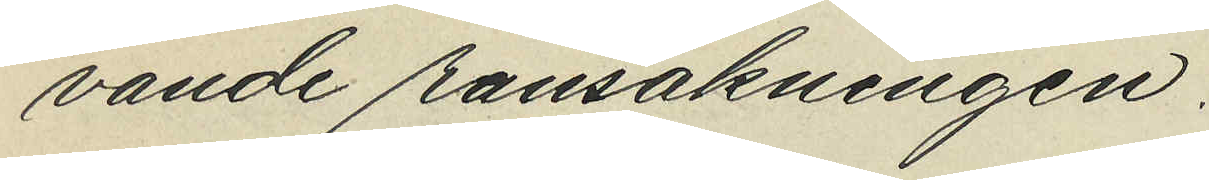vande ransakningen.
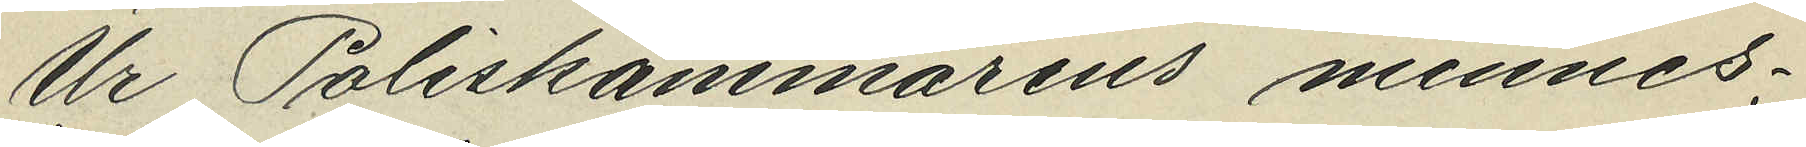U Poliskammarens minnes¬
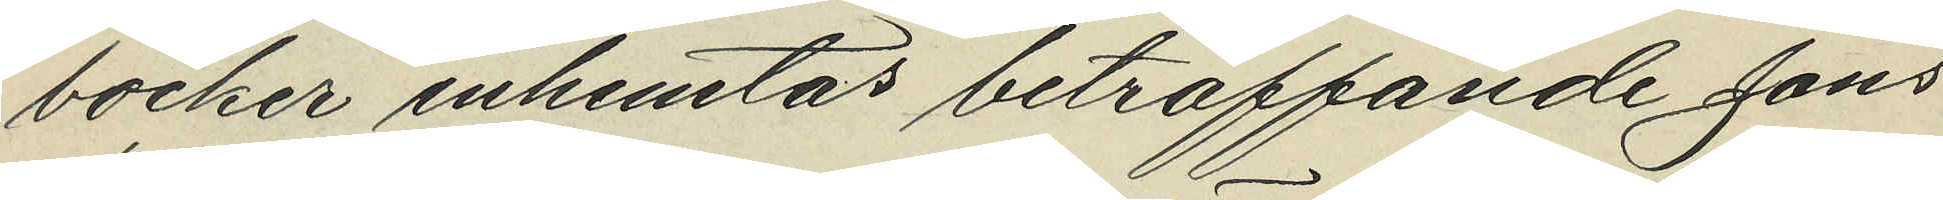böcker inhemtas befträffande Jöns
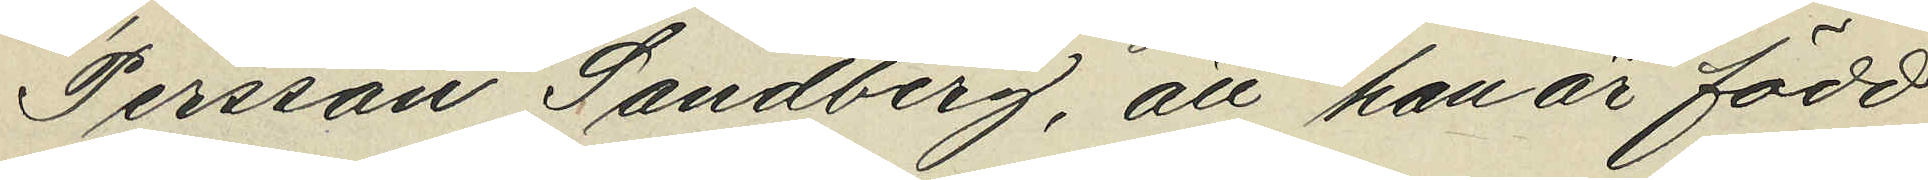Perssons Sandberg, att han är född
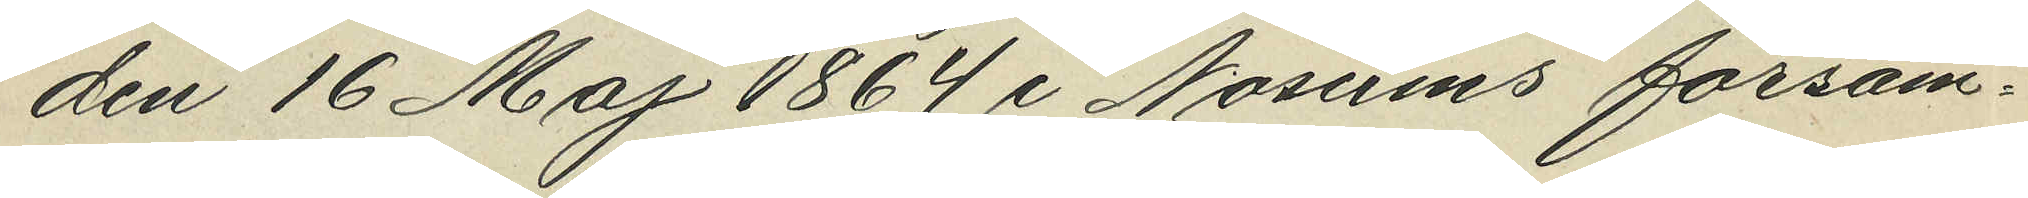den 16 Maj 1864 i Norums försam¬
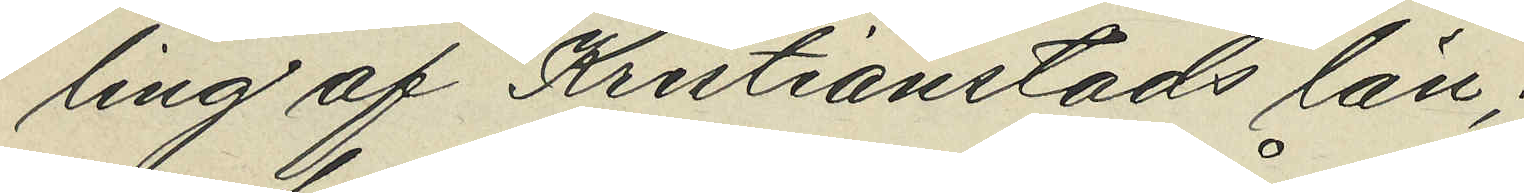ling av Kristianstads län;
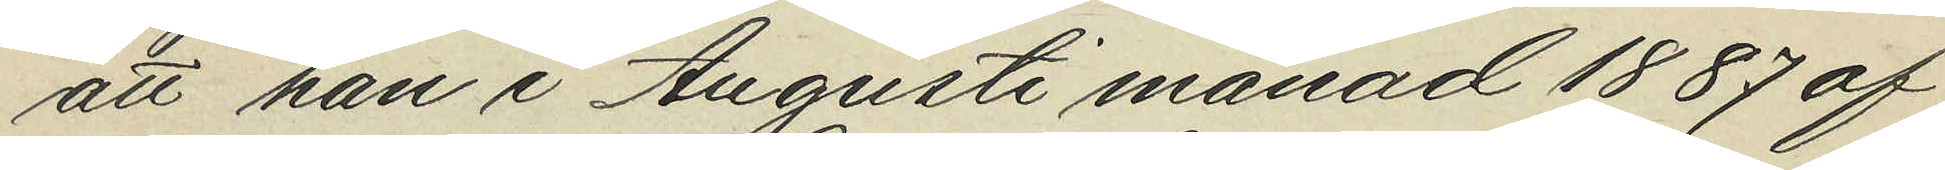att han i Augusti månad 1887 af
